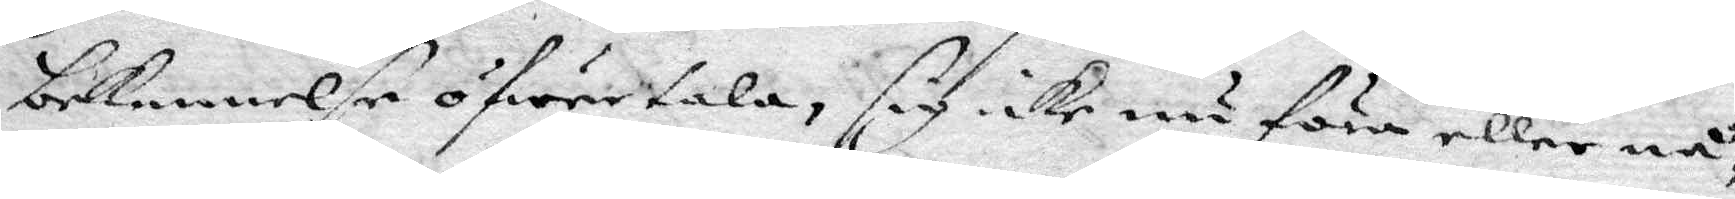bekennelse öfwertala, sig icke nu föra eller nå¬
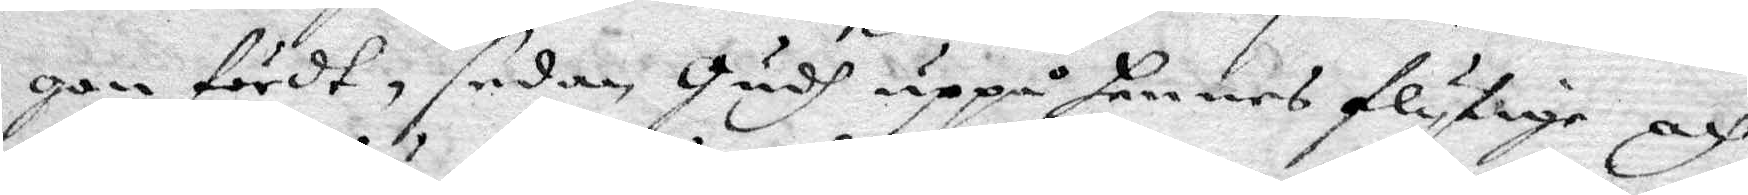gon först, sedan Gudh uppå hennes flytige och
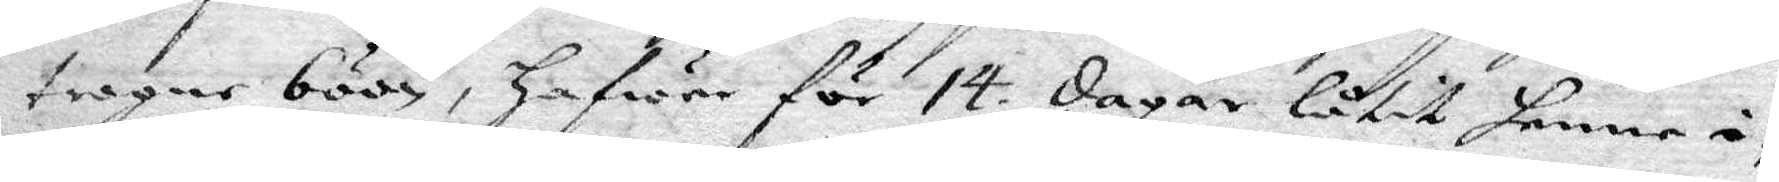trogne böön, Hafwer för 14 dagar låtit henne i¬
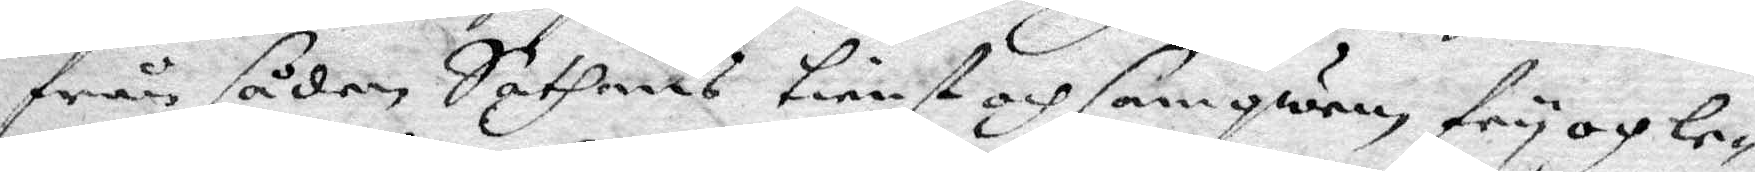från sådan Sathans tienst och samqwäm fry och le¬
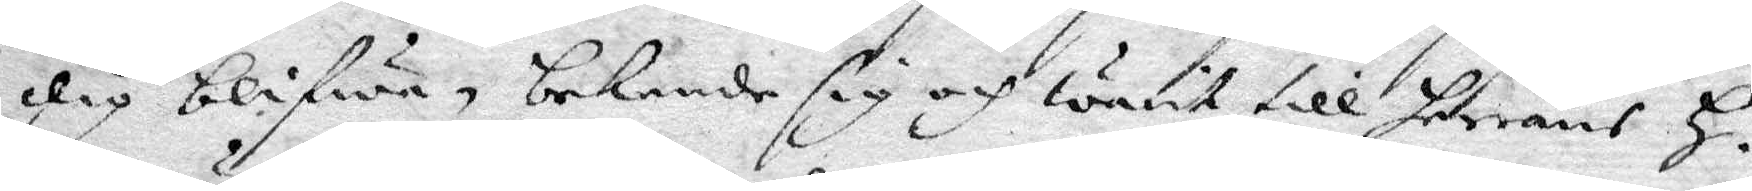dig blifwa, bekende sig och warit till herrans H.
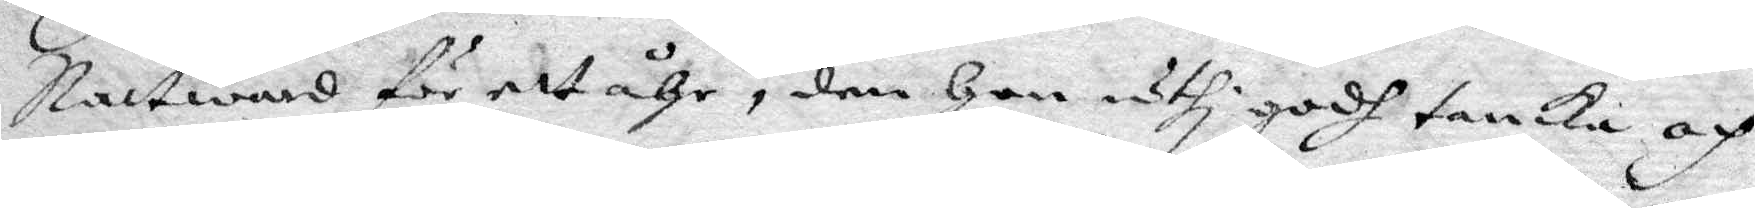nattward för ett åhr, den Hon uthi godh tanka och
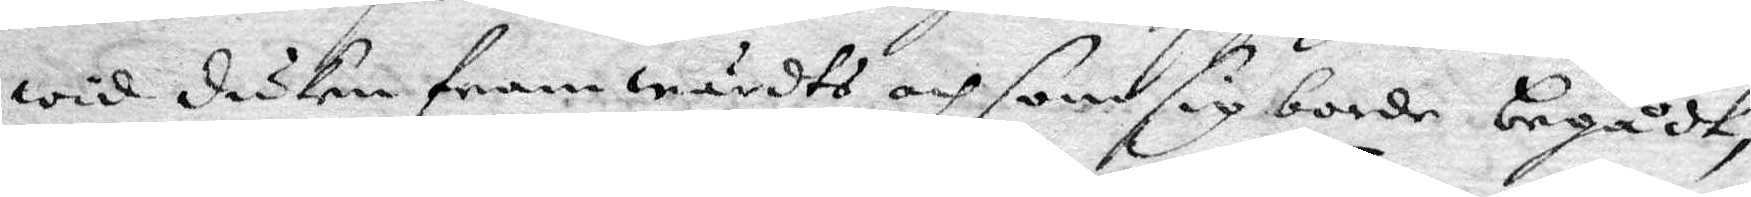wid duken framwärdts och som sig borde begådt,
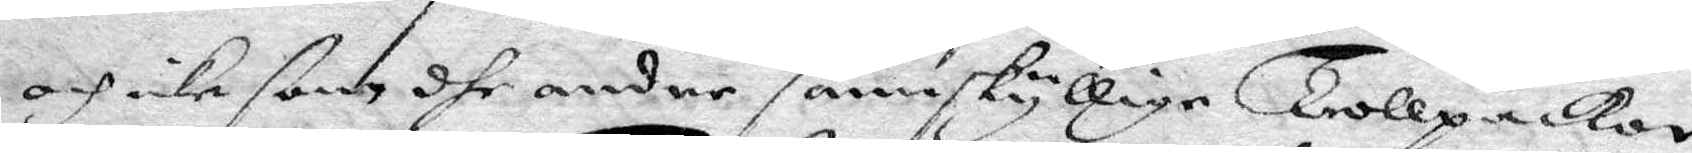och icke fann dhe andre samskylldige Trollpackor
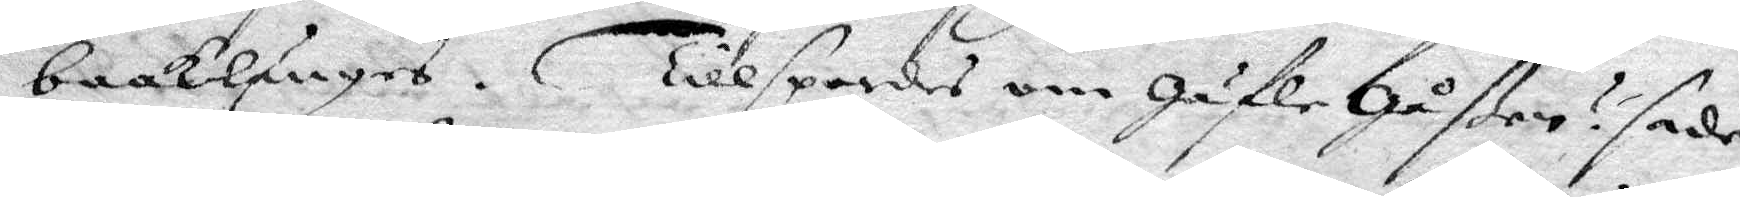baaklänges. Tillspordes om Gäfle Gåßen? sade
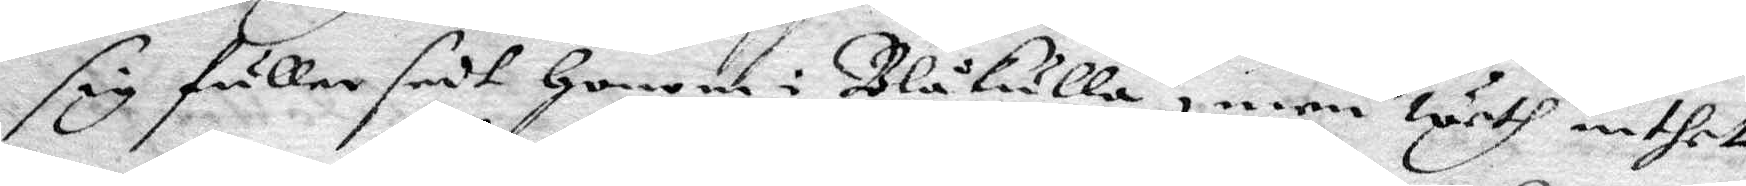sig fuller sedt Honom i Blåkulla, men weth inthet
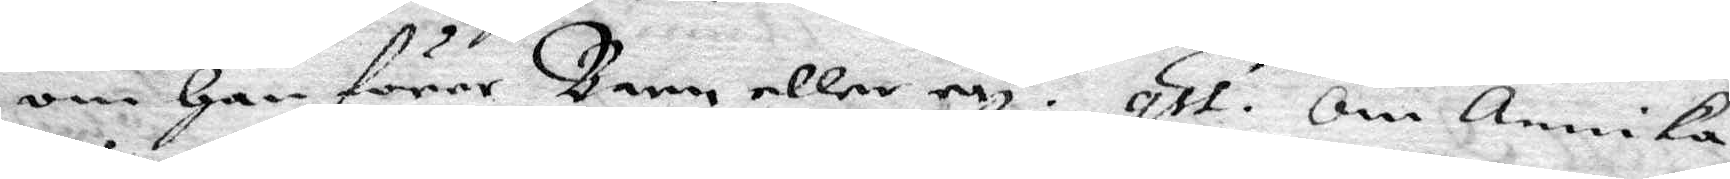om Han förer Barn eller ey? qst. Om Annika
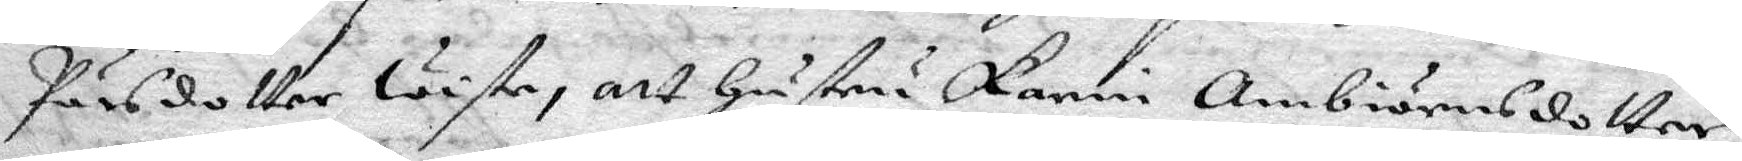Pärsdotter wiste, att Hustru Karin Ambiörnsdotter
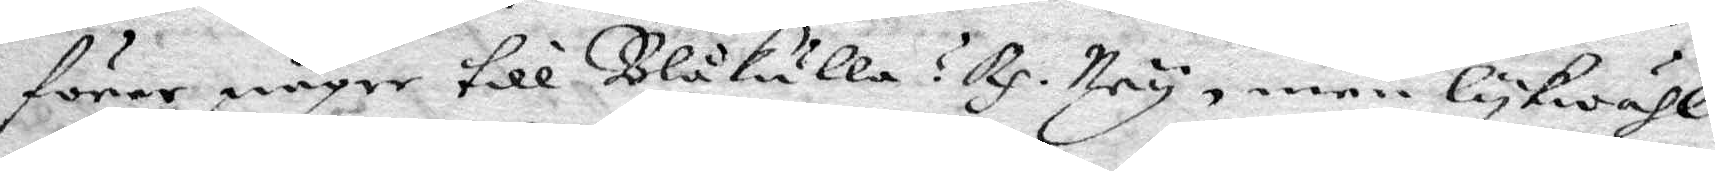förer någre till Blåkulla? Rp. Ney, men lykwähl
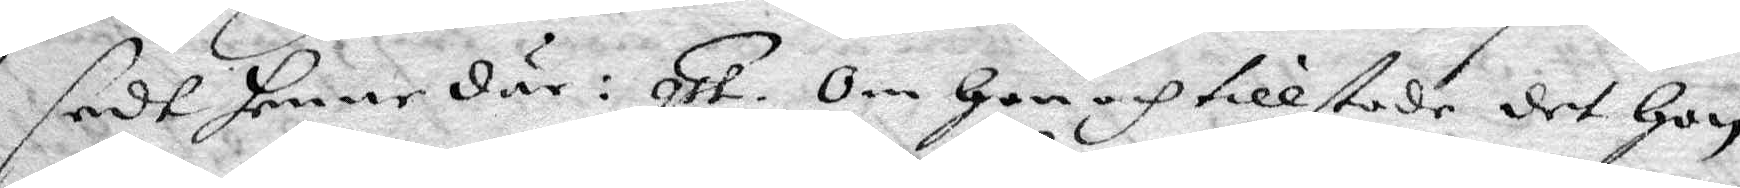sedt henne där: qst. Om Hon och tillstode det Hon
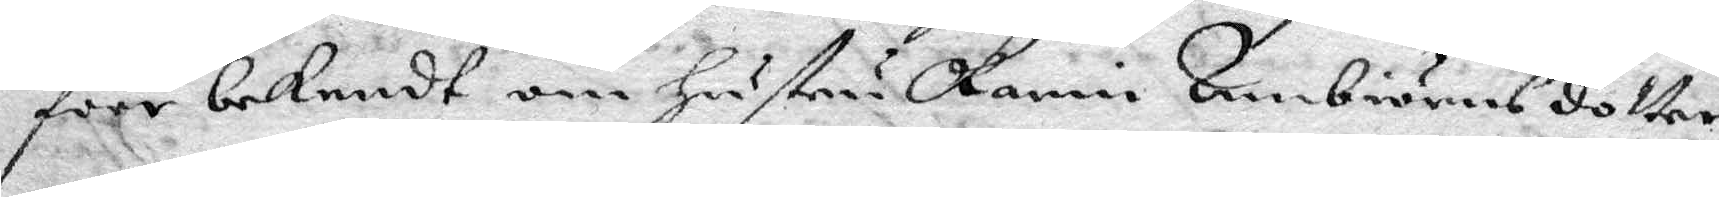före bekendt om Hustru Karin Ambiörnsdotter
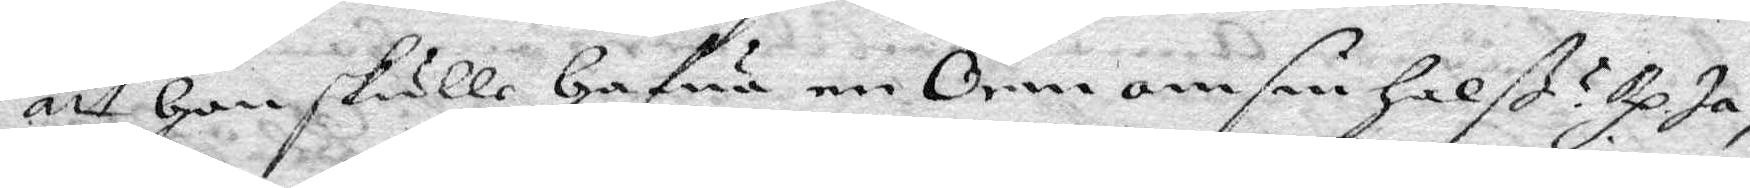att Hon skulle Hafua en Orm om sin Halß? Rp. Ja, 
